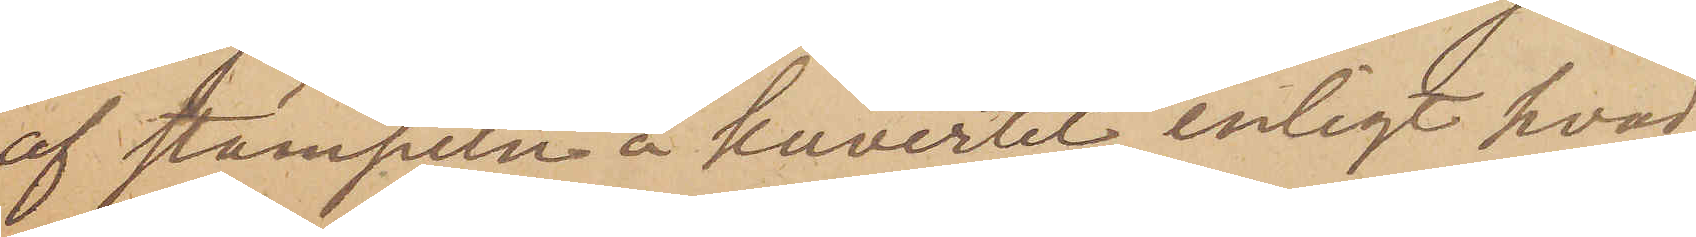af stämpeln å kuvertet, enligt hvad
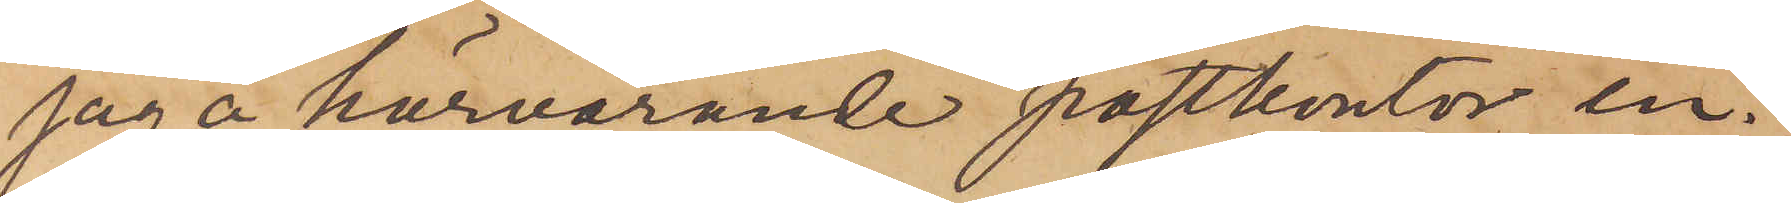jag å härvarande postkontor in¬
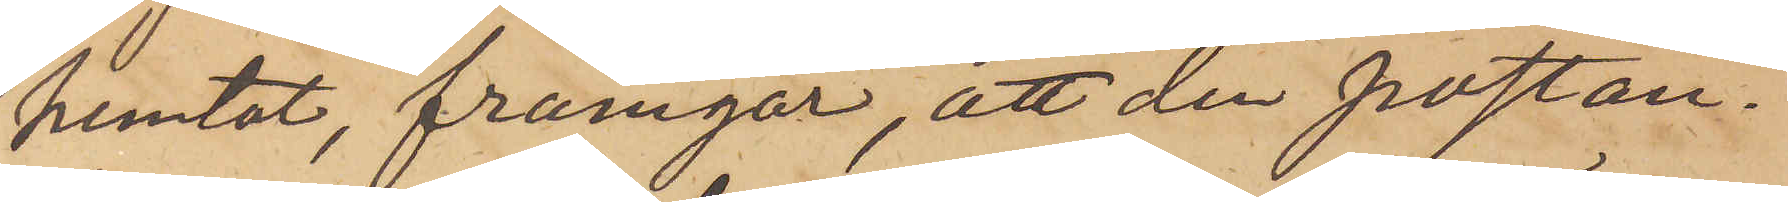hemtat, framgår, att den postan¬
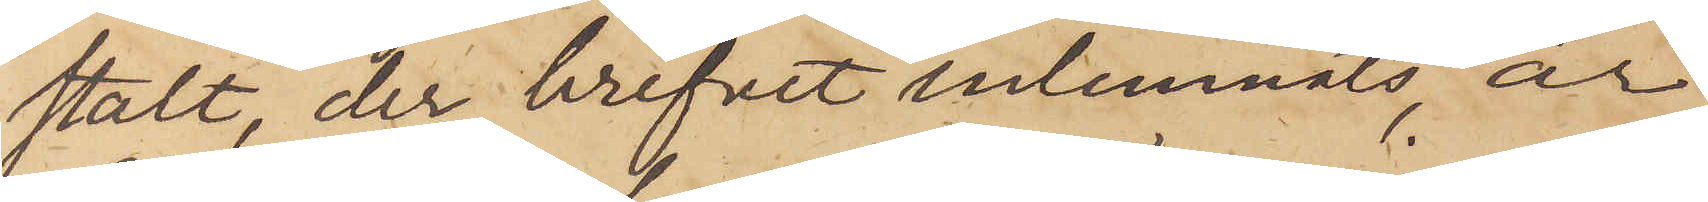stalt, der brefvet inlemnats, är
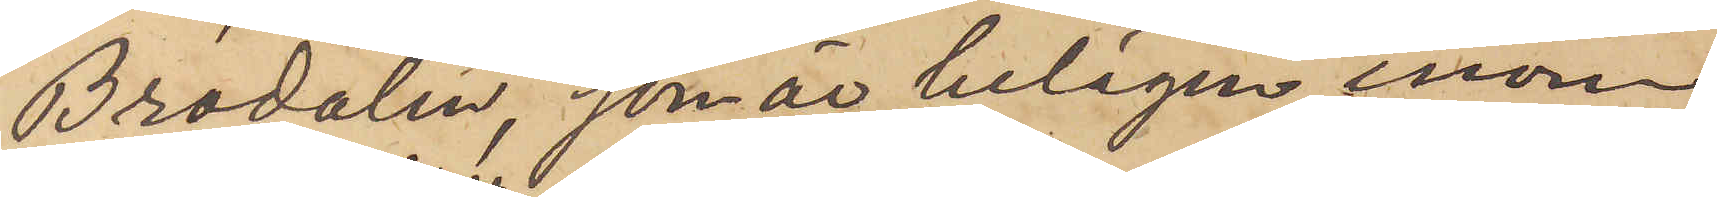Brodalen, som är belägen inom
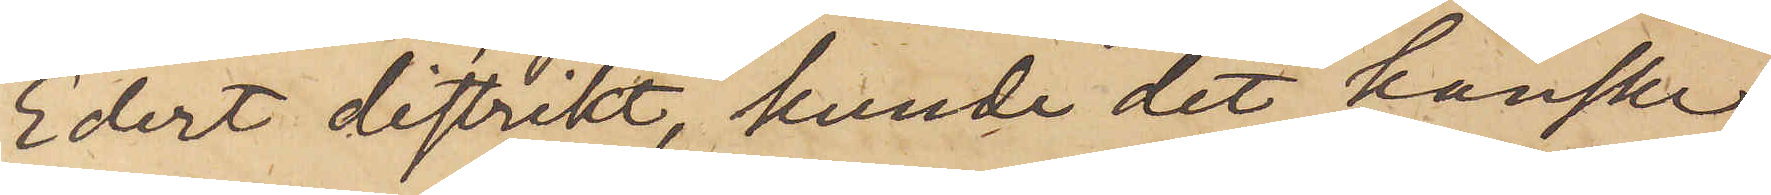Edert distrikt, kunde det kanske
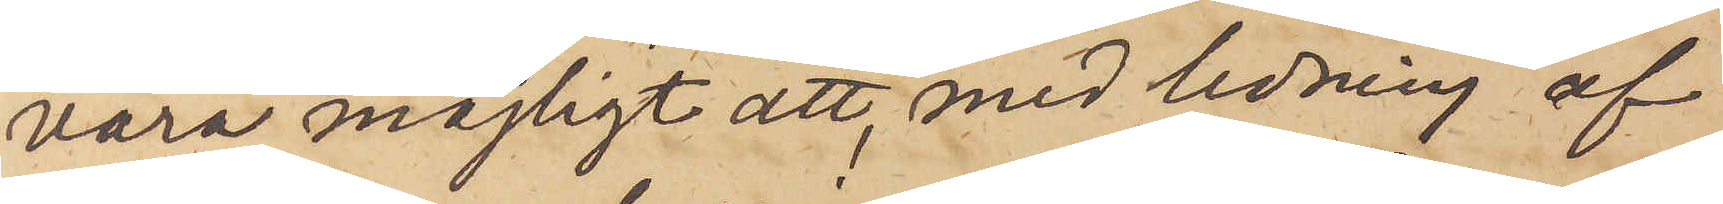vara möjligt att, med ledning af
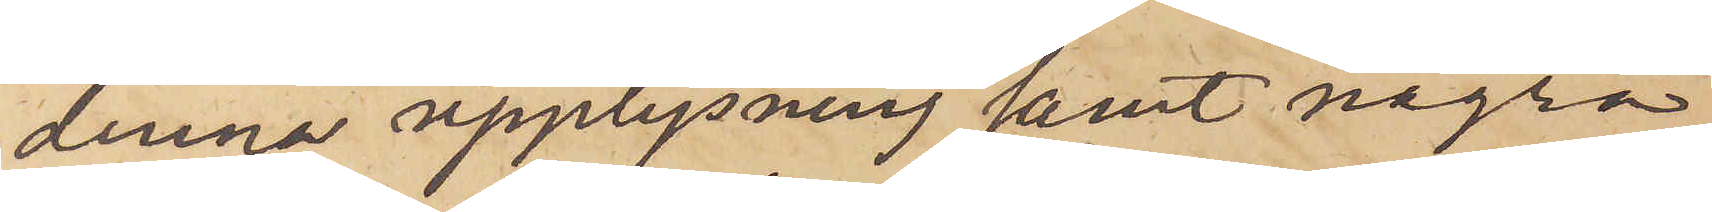denna upplysning samt några
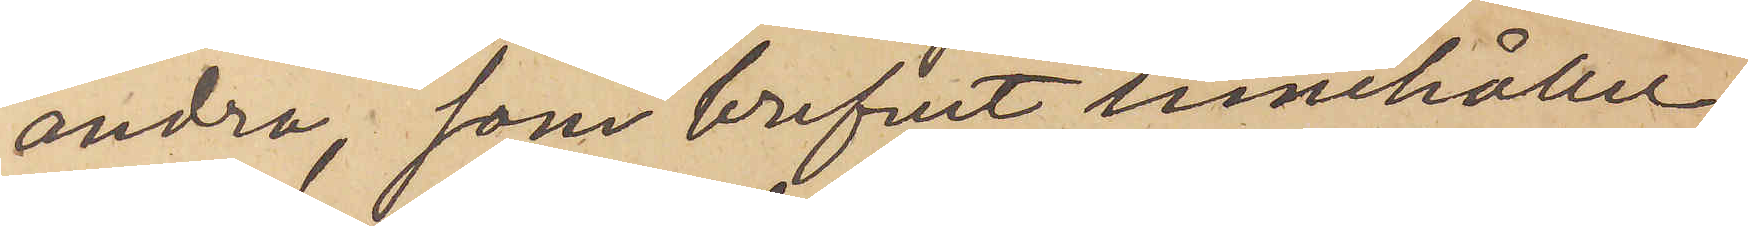andra, som brefvet innehåller,
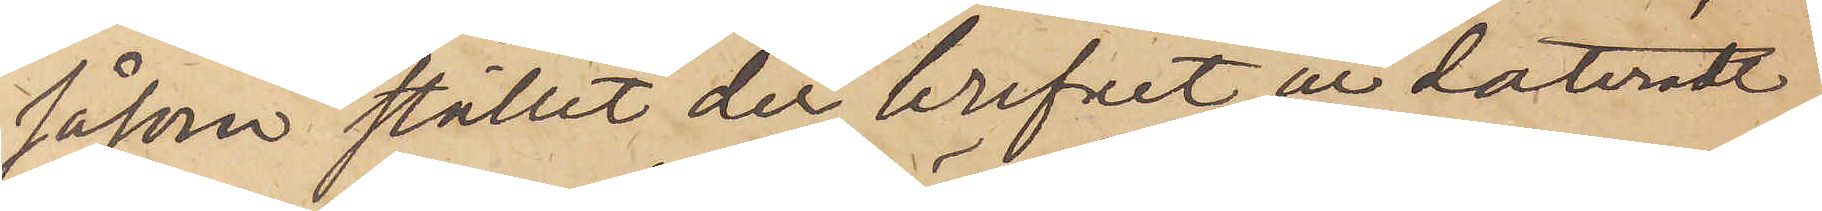såsom stället der brifvet ur dateradt
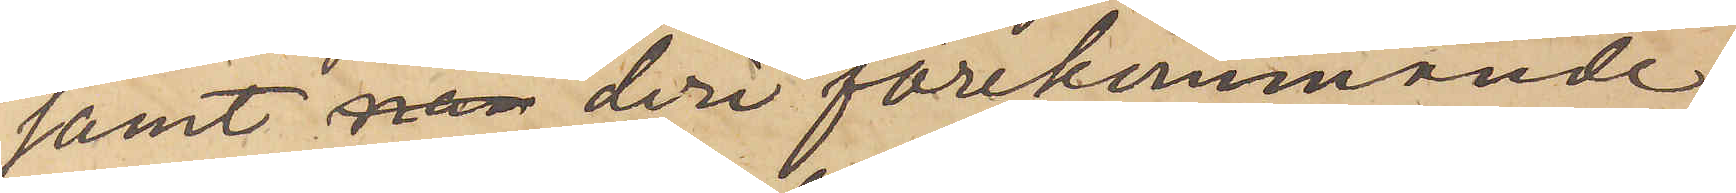samt deri förekommande
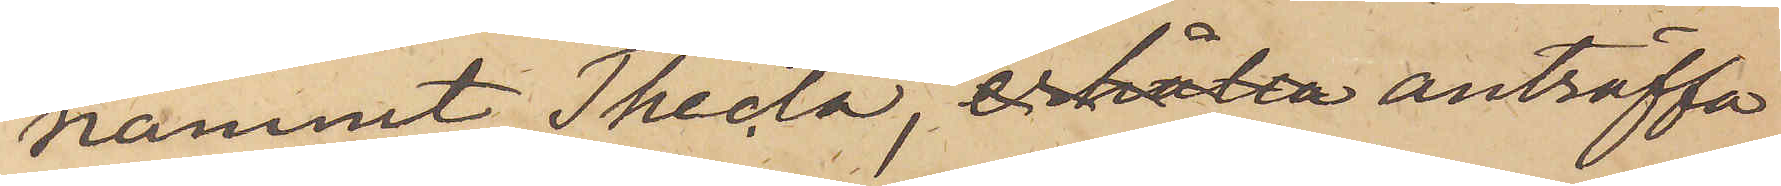namnet Thecla,  anträffa
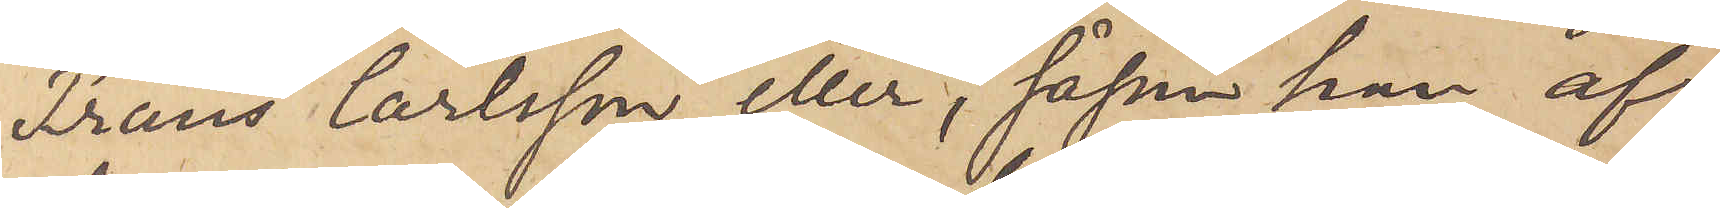Frans Carlsson eller, såsom han af
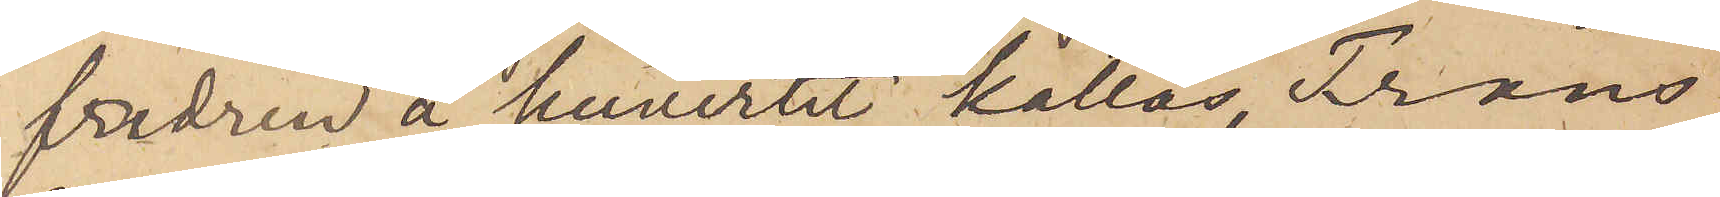fadren å kuvertet kallas, Frans
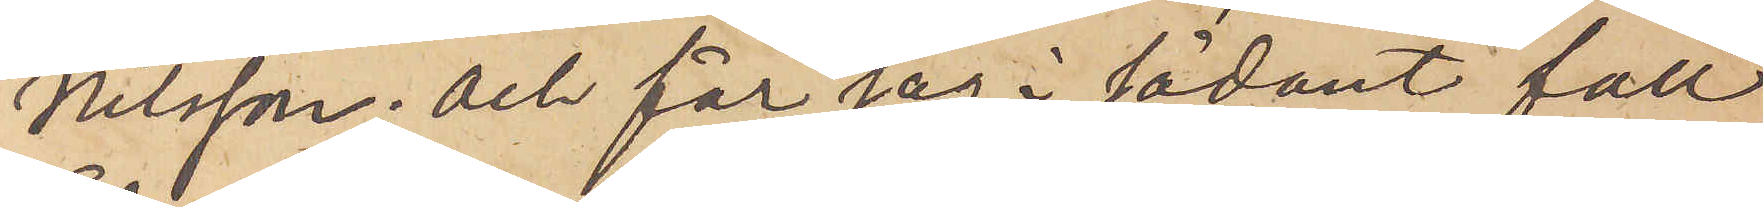Nilsson; och får jag i sådant fall
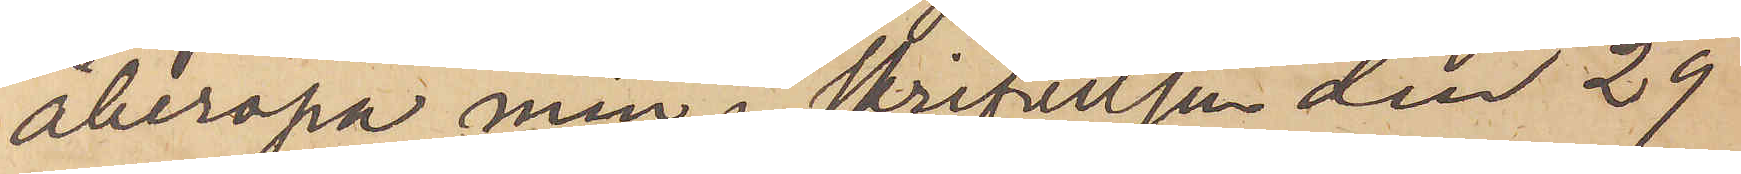åberopa min i skrifvelsen den 29
